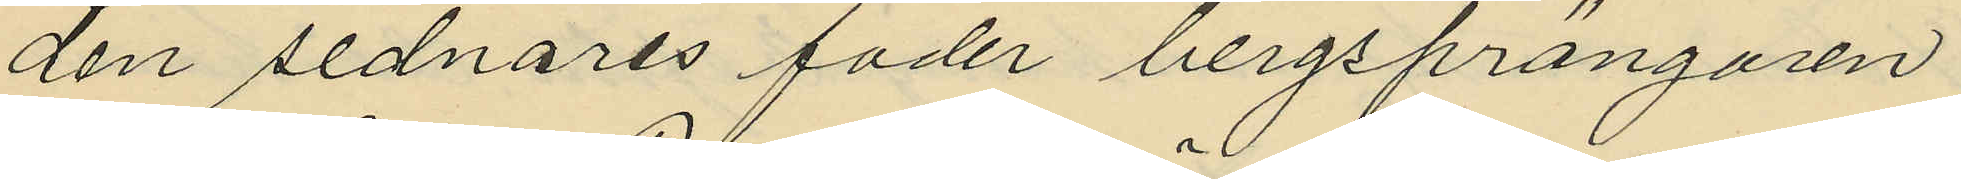den sednares fader bergsprängaren
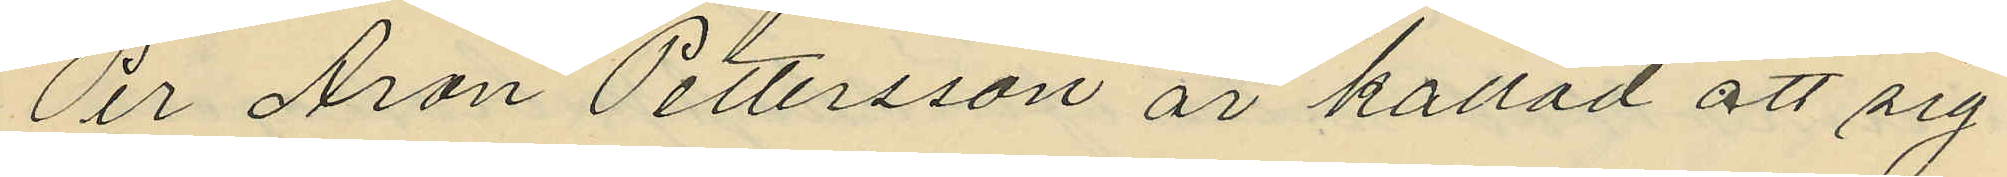Per Aron Pettersson är kallad att sig
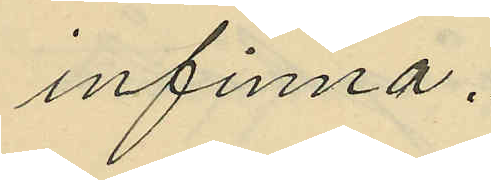infinna.
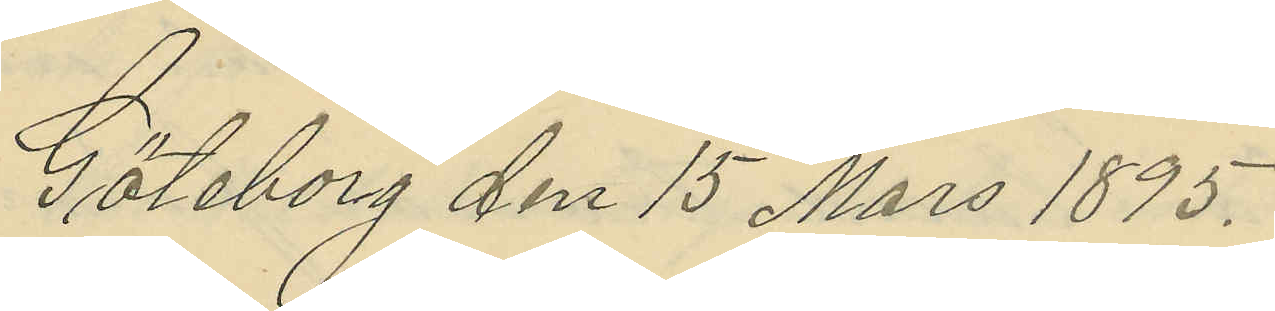Göteborg den 15 Mars 1895.
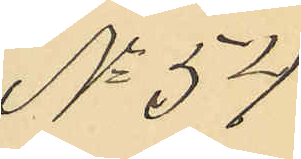No 57
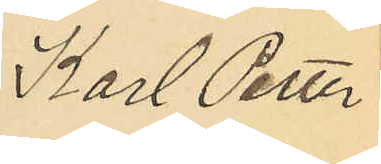Karl Petter
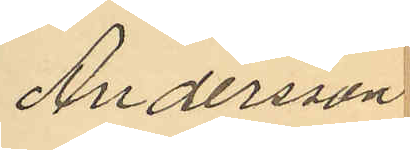Andersson
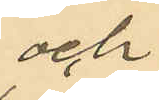och
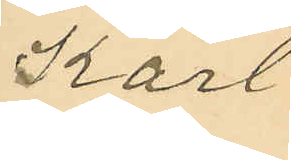Karl
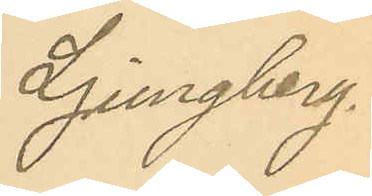Ljungberg.
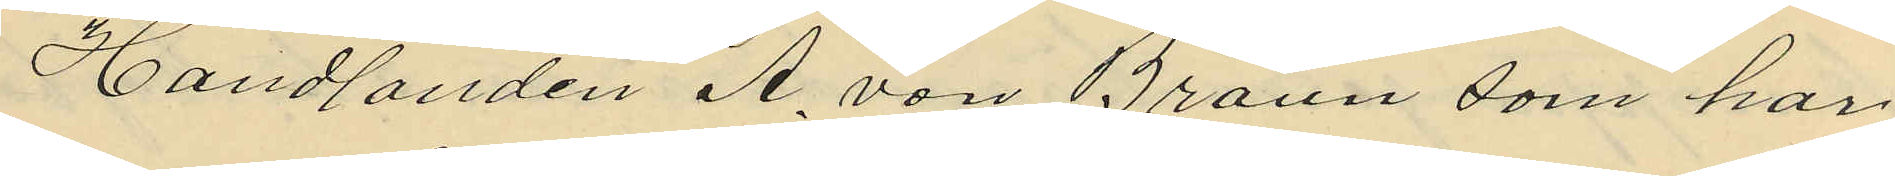Handlanden A. vor Braun som har
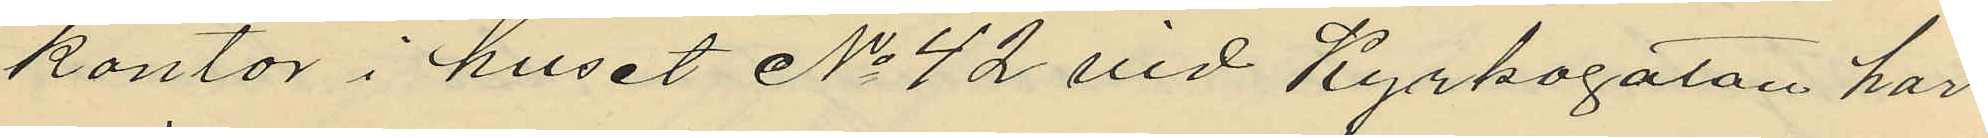kontor i huset No 42 vid Kyrkogatan har
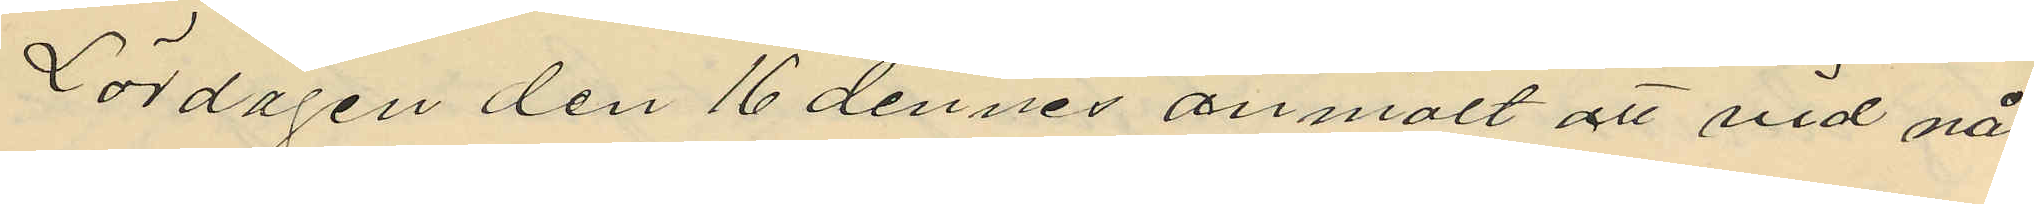Lördagen den 16 dennes anmält att vid nå¬
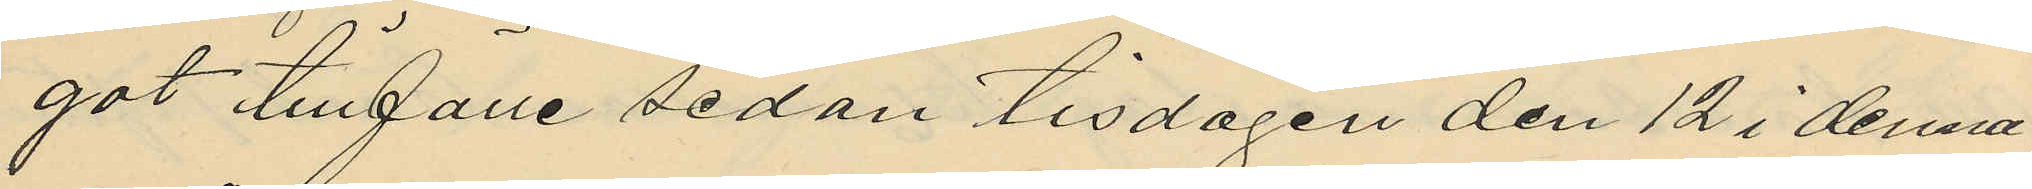got tillfälle sedan tisdagen den 12 i denna
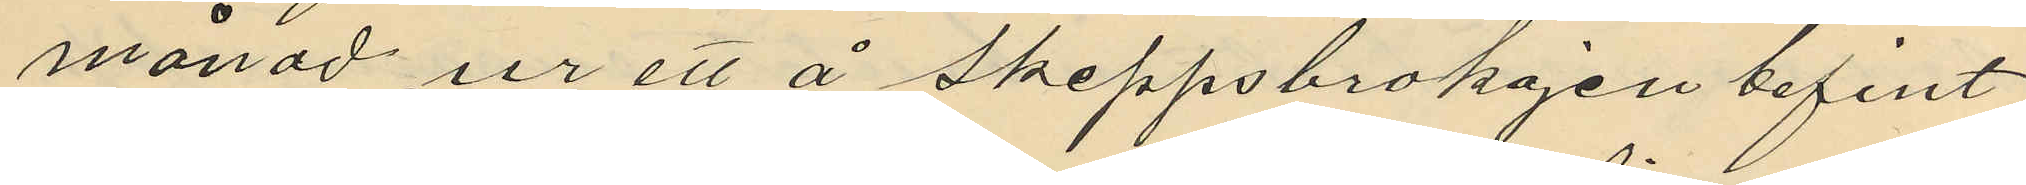månad ur ett å skeppsbrokajen befint
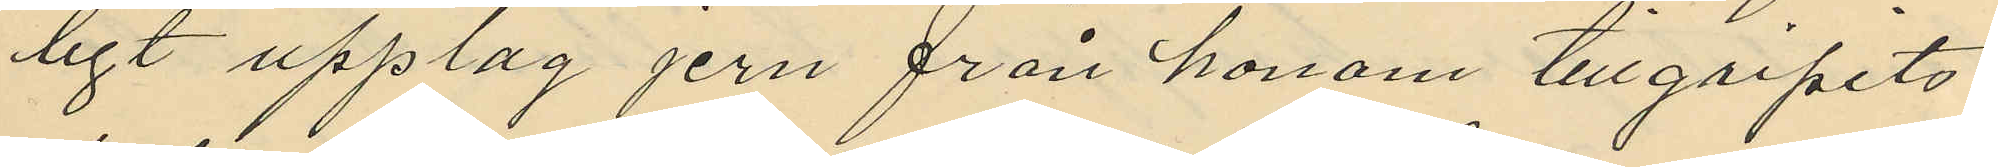ligt upplag jern från honom tillgripits
